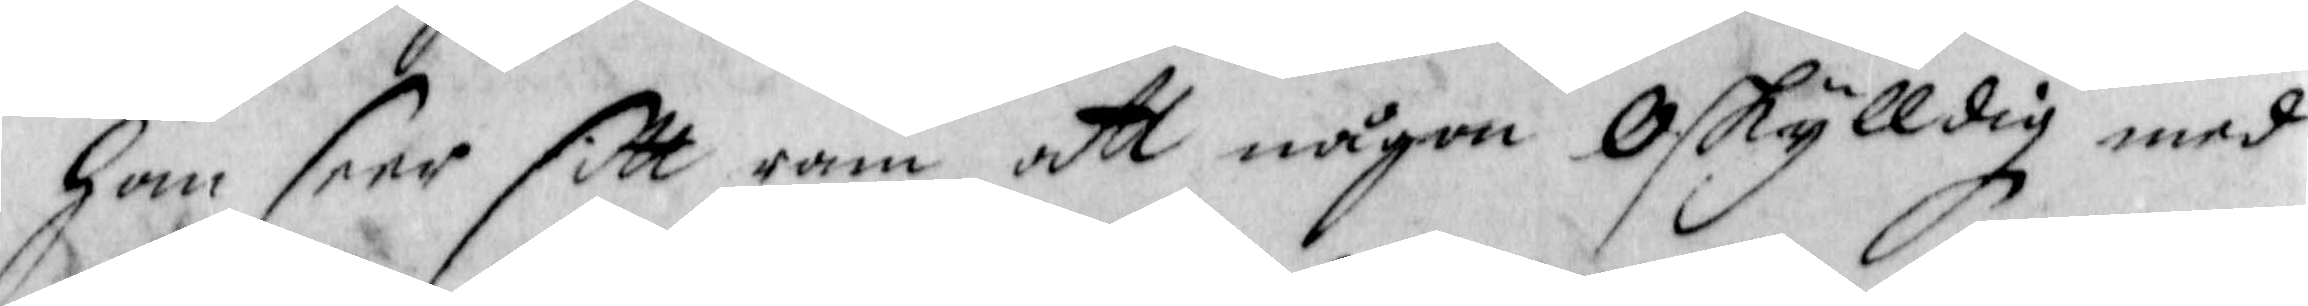han seer sitt ram att någon Oskylldig med
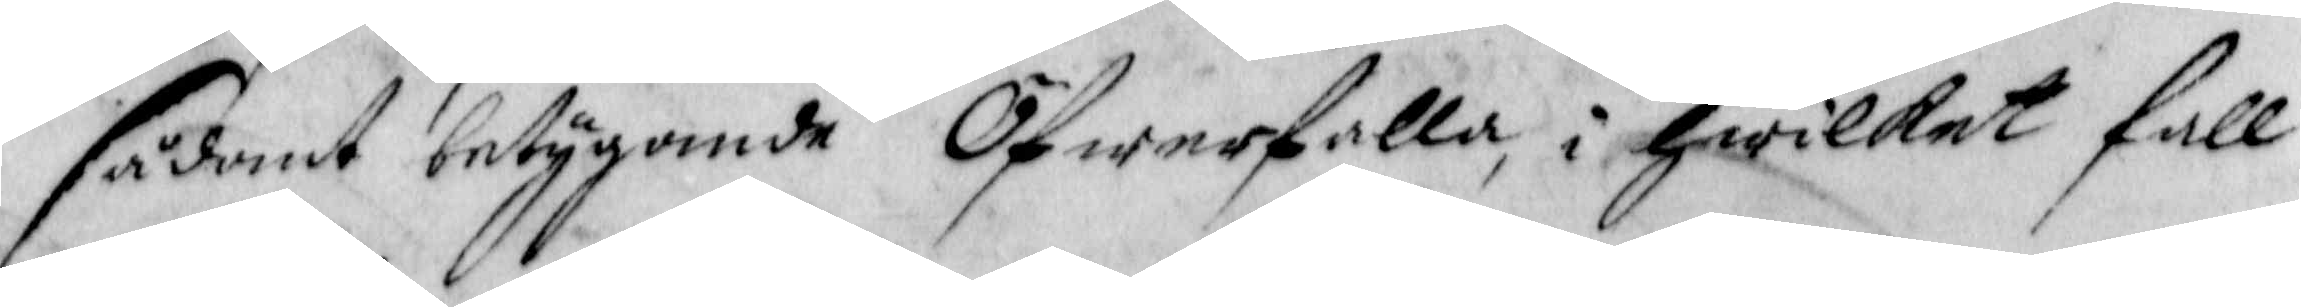sådant betygande Öfwerfalla, i hwilket fall
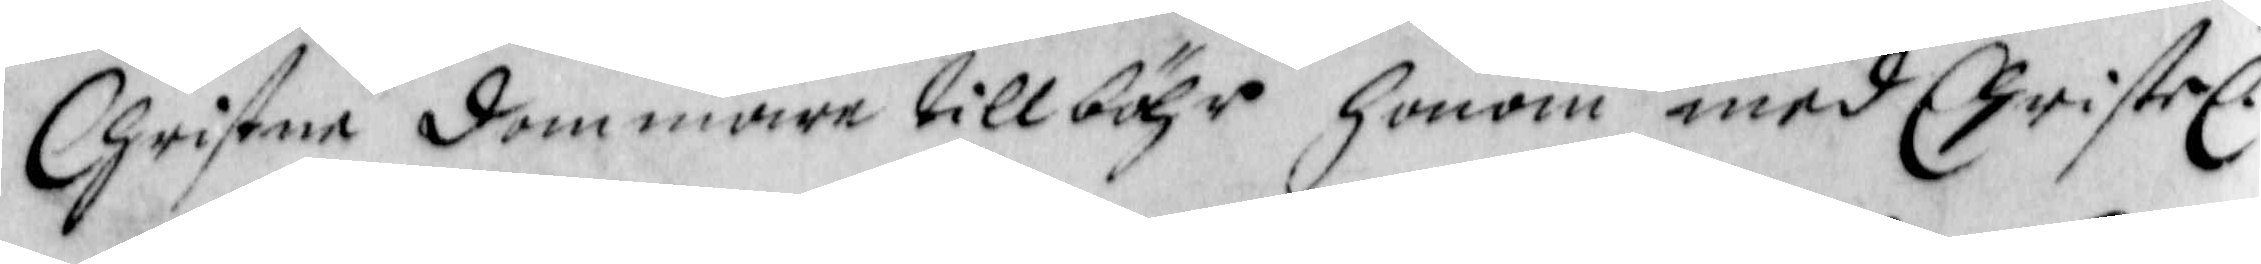Christne dommare tillböhr honom med Christel.
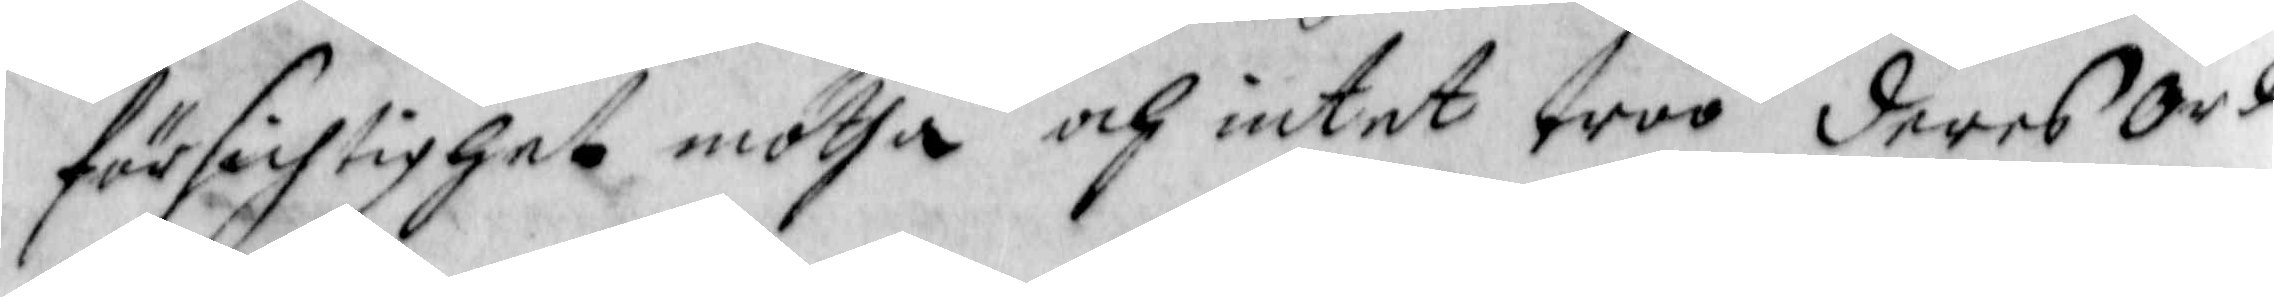försichtighet mötha och intet troo deras Ord
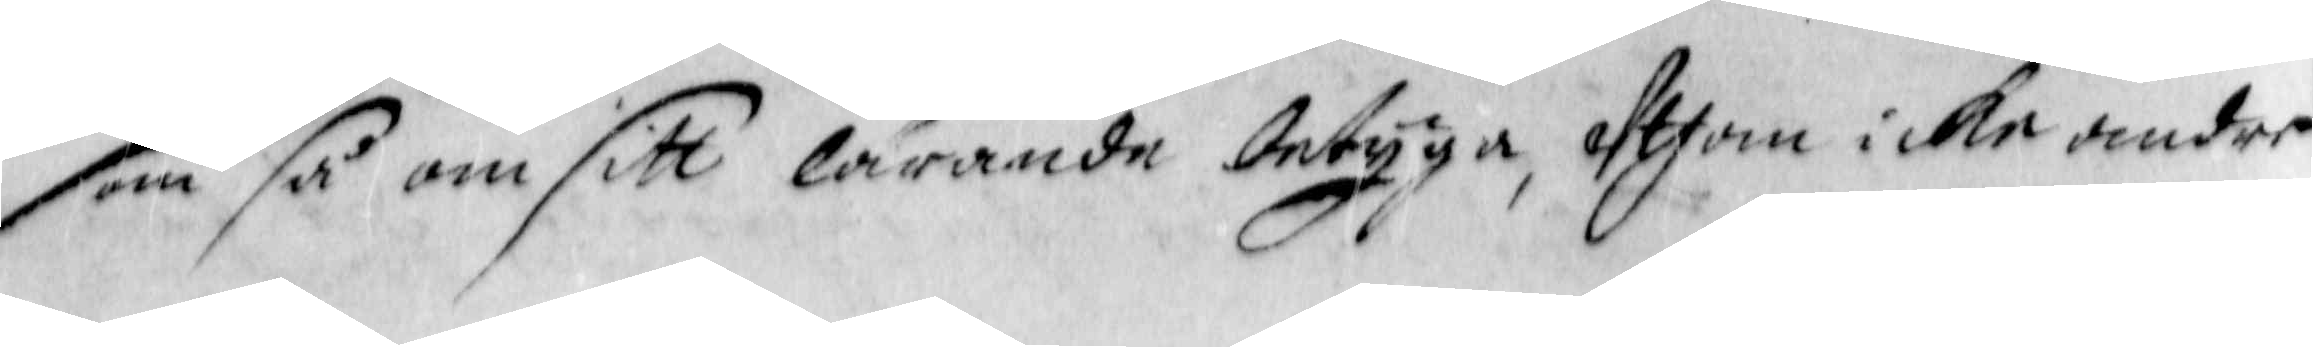som så om sitt lärande betyga, Uthom icke andre
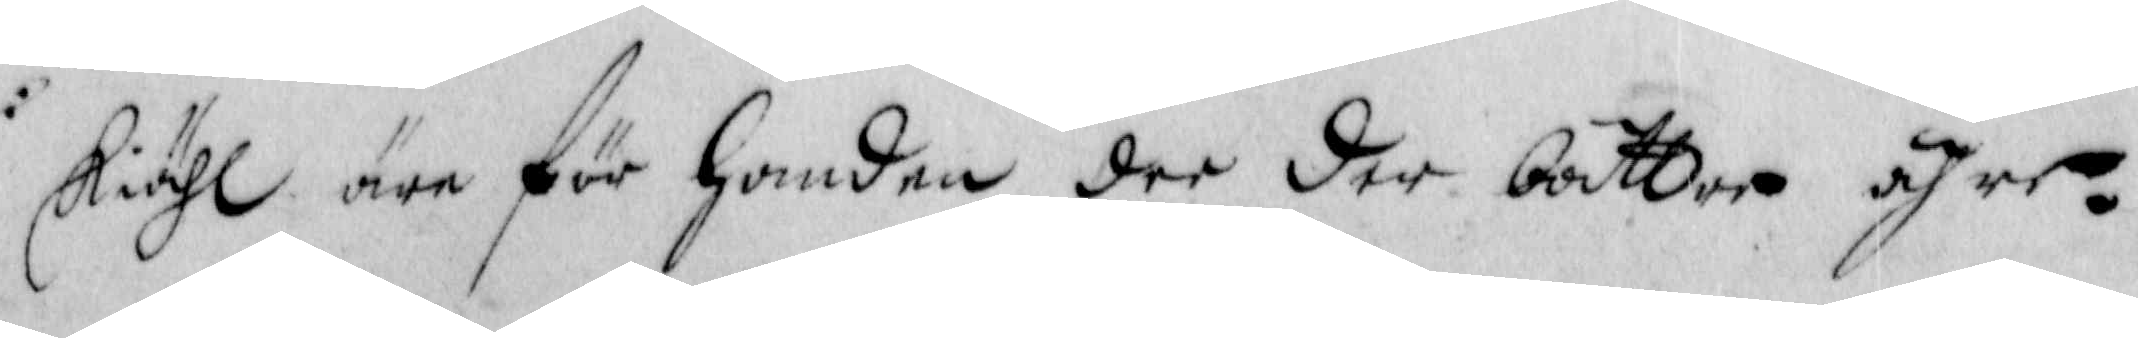skiähl äre för handen der der bättre ähre.
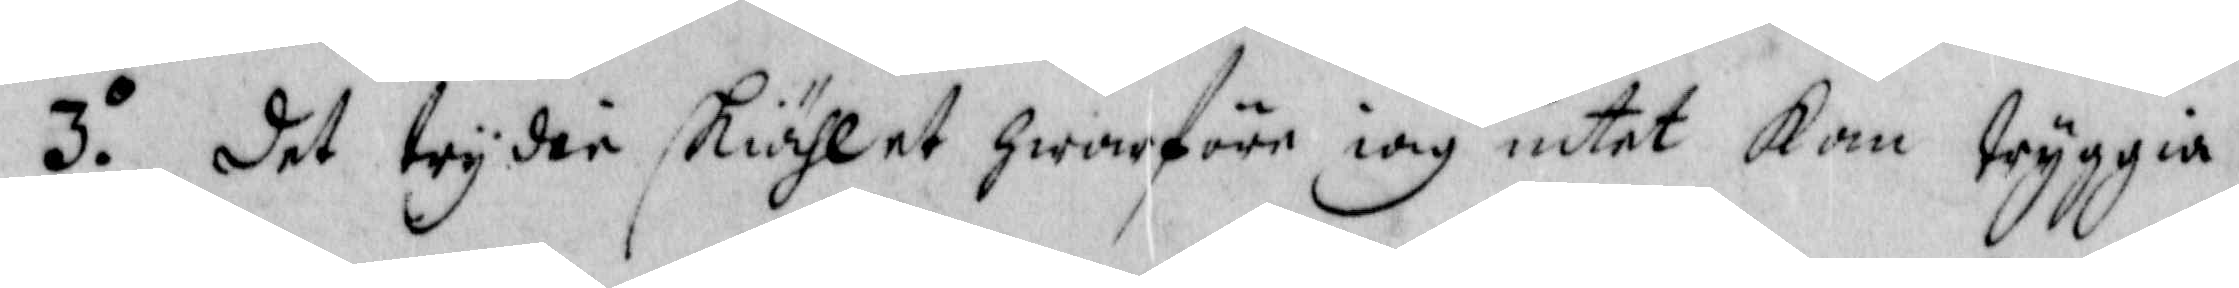3.o det trydie skiählet hwarföre iag intet kan tryggia
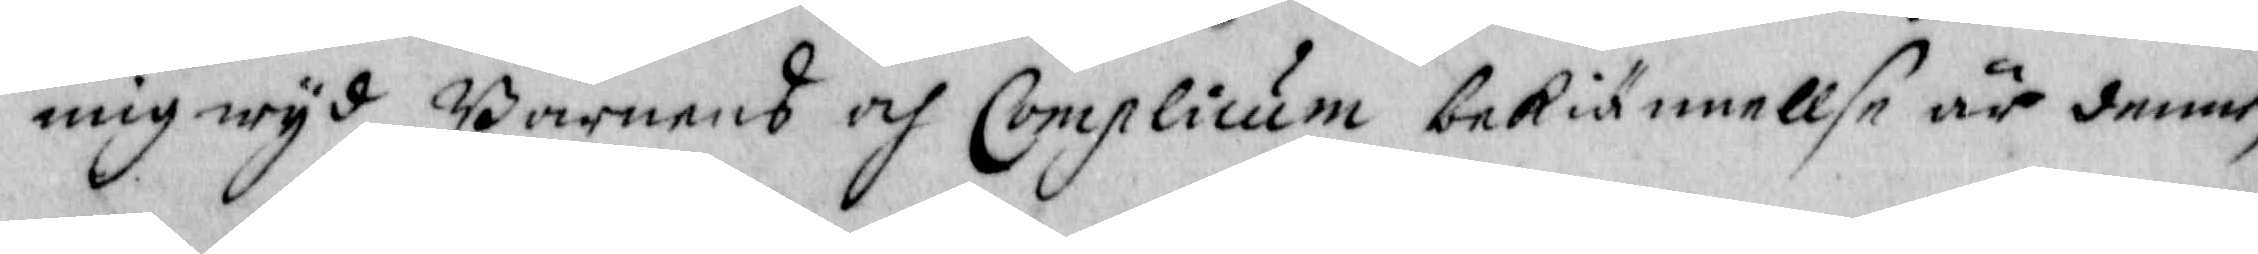mig wyd Barnens och Complicum bekiännellse är denne,
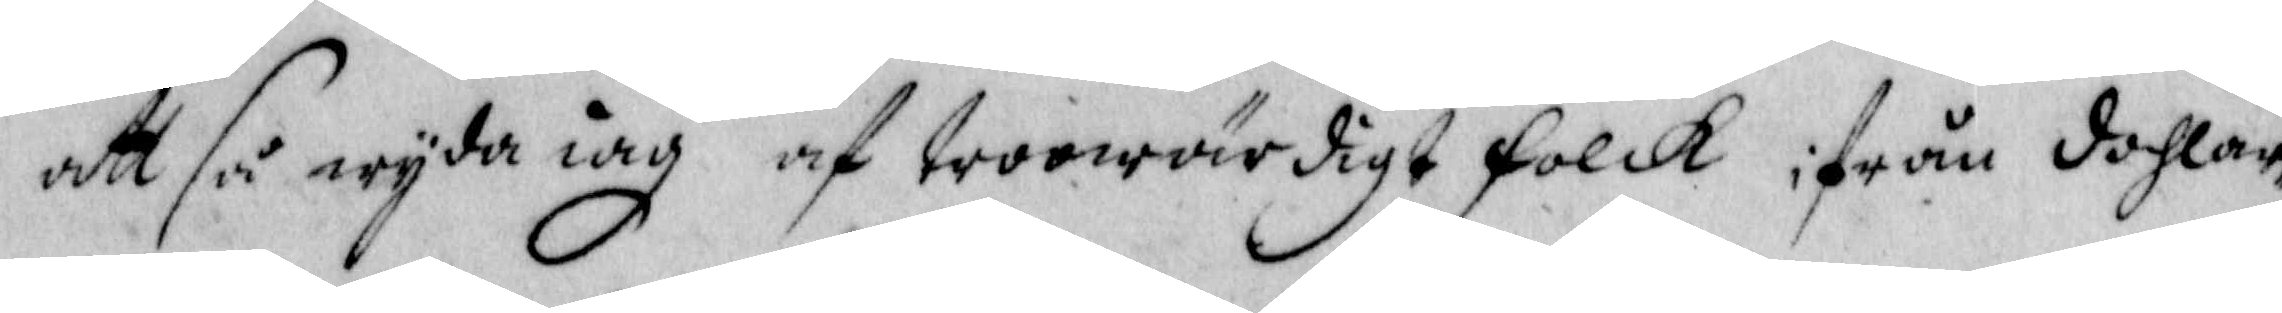att så wyda iag af trowärdigt Folck ifrån dahlar¬
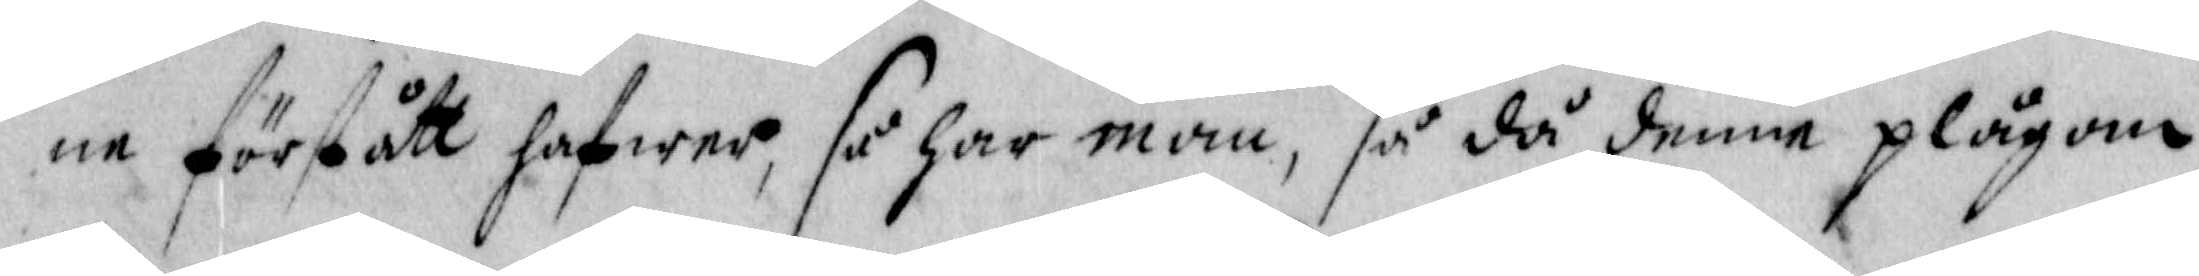ne förstått hafwer, så har man, så då denne plågan
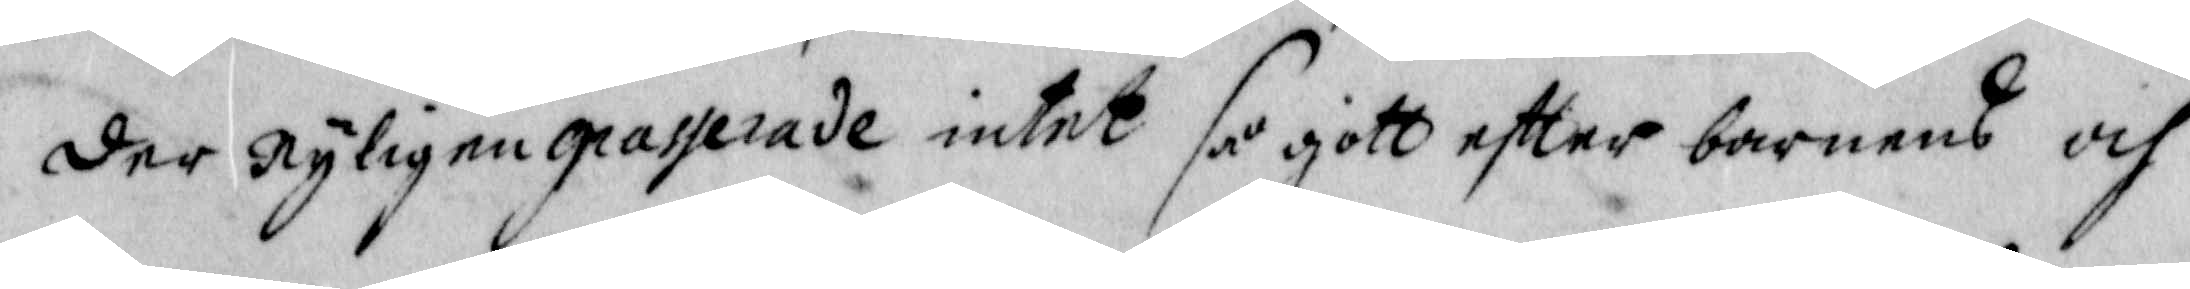der nyligen gradderade intet så gott eftter barnens och
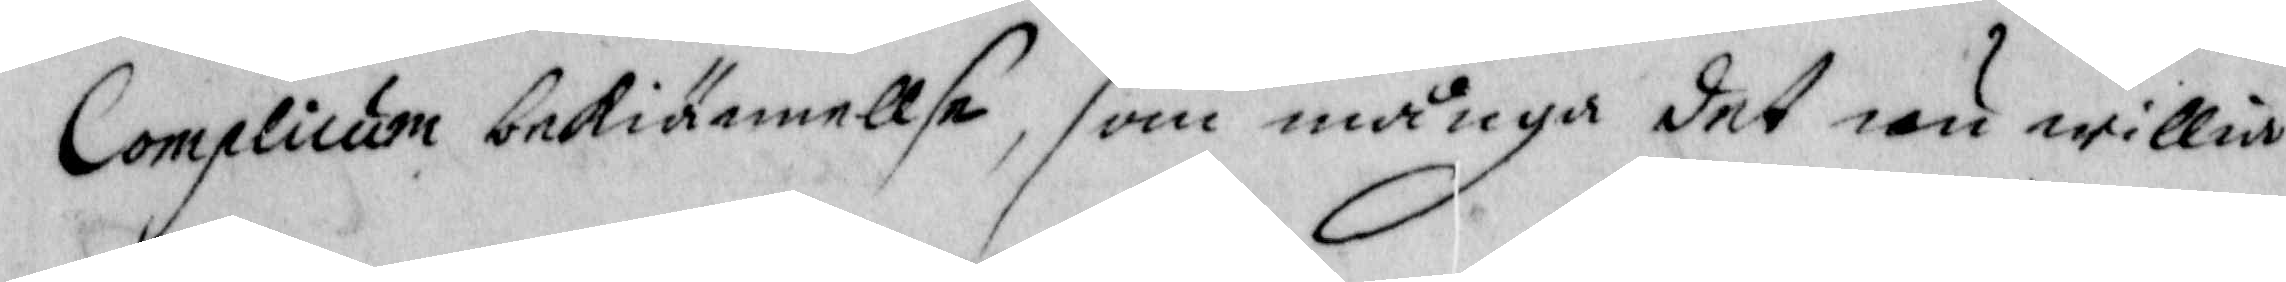Complicum bekiännelse, som många det än willia
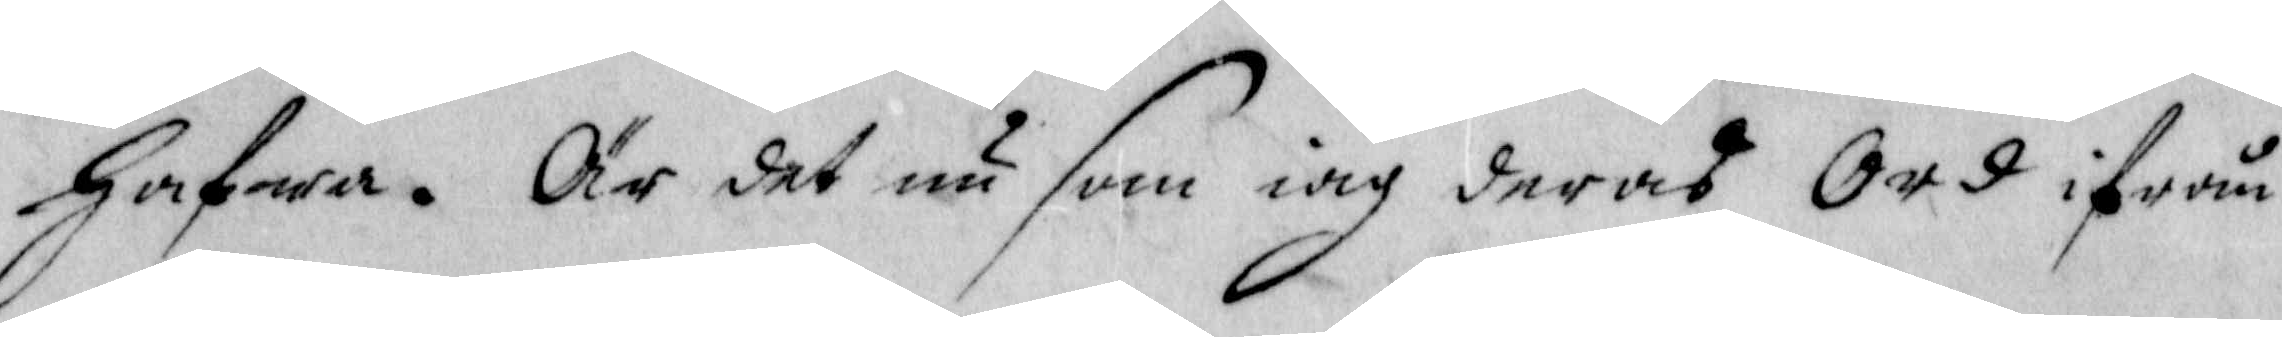hafwa. Är det nu som iag deras Ord ifrån
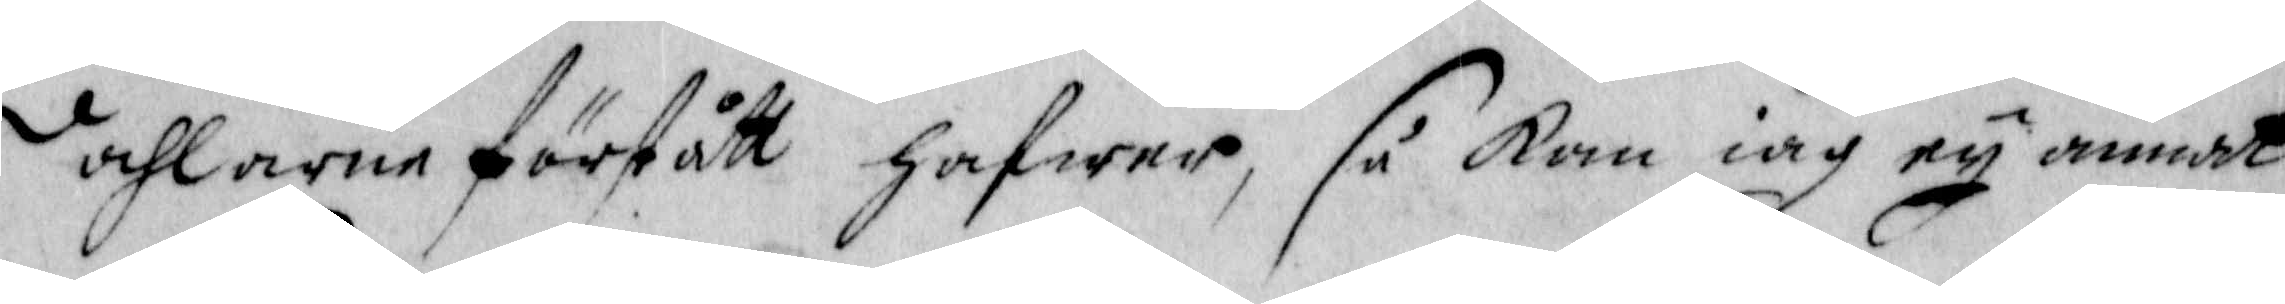Dahlarne förstått hafwer, så kan iag ey annat
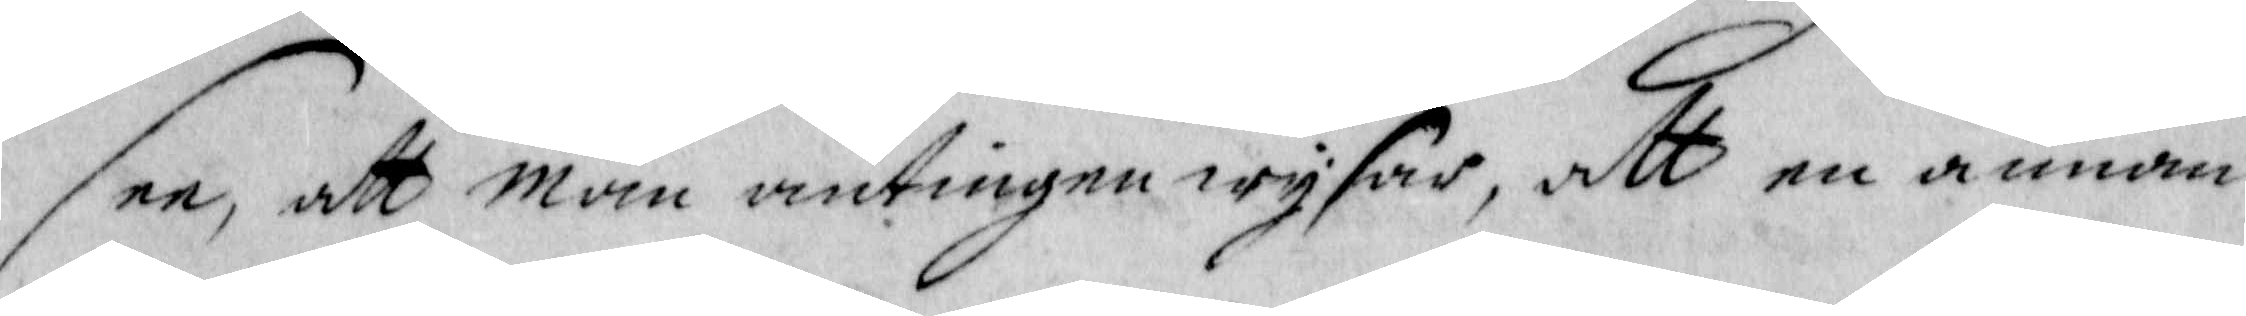dee, att man antingen wysar, att en annan
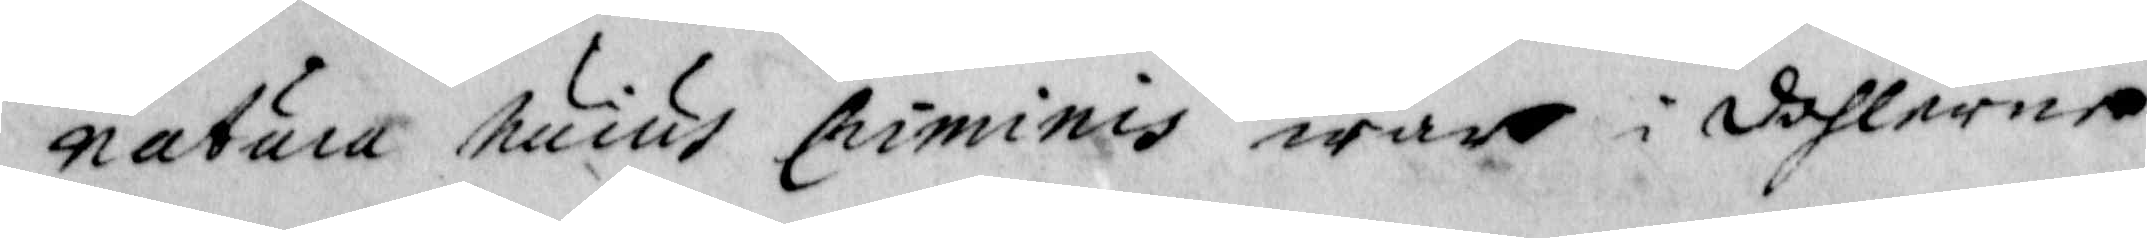natura huius Criminis war i dahlarne
